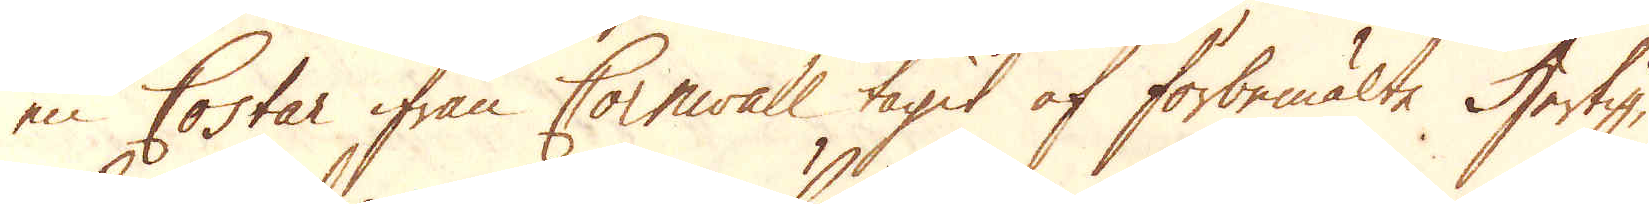en Costar ifrån Cornwall tagit af förbemälte Hertig,
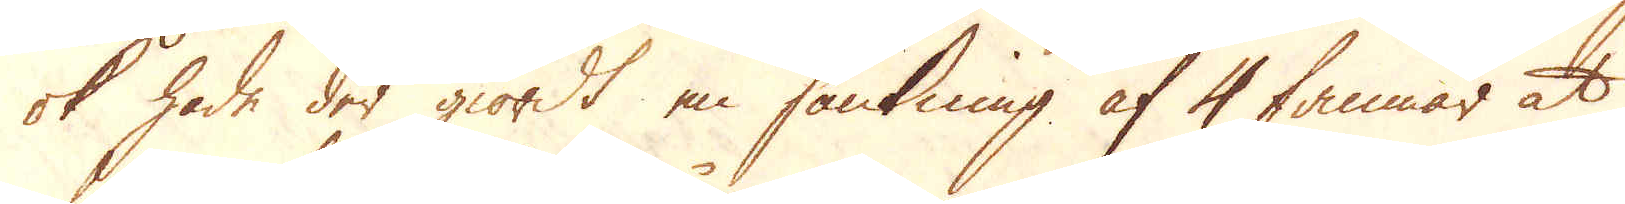ok hade der giordt en sänkning af 4 famnar at
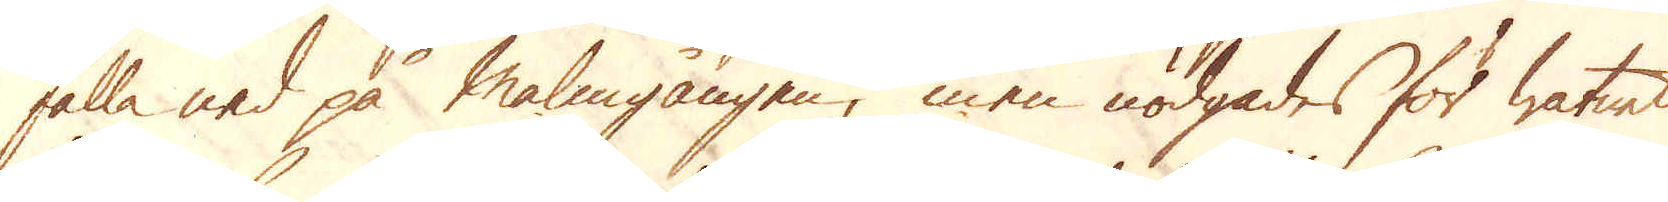falla ned på Malmgången, men nödgades för watnet
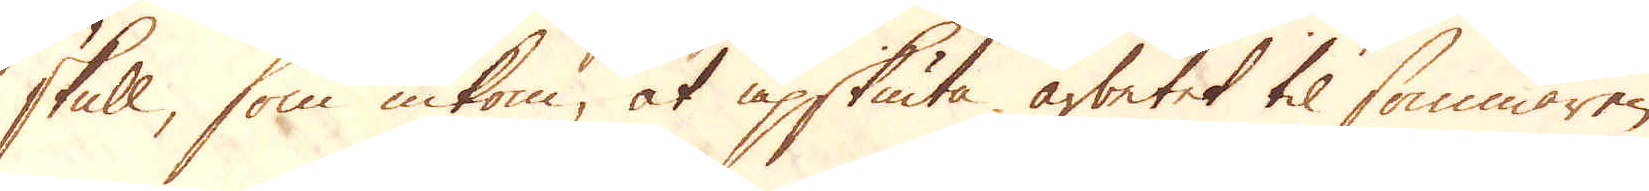skull, som inkom, at upskiuta arbetet til sommaren.
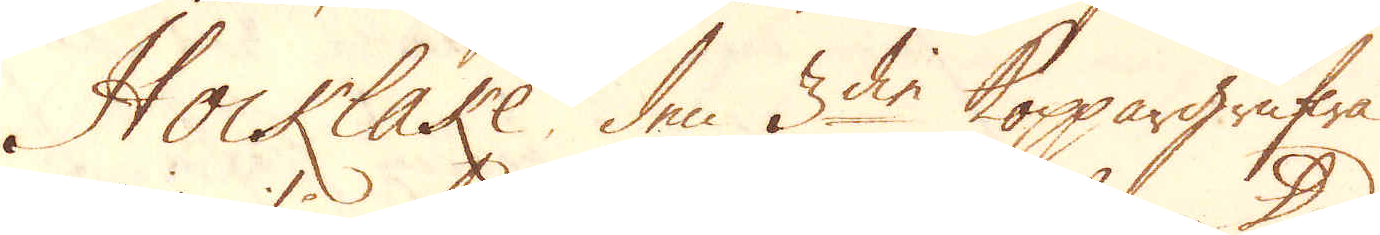Hocklake den 3die koppargrufwa
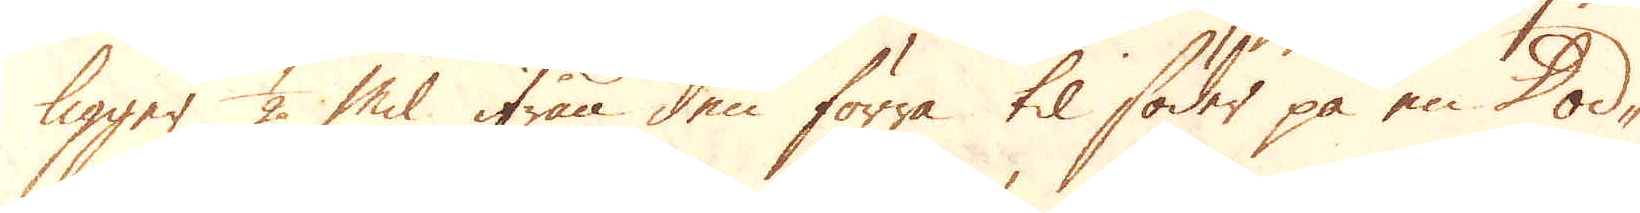ligger 1/2 Mil ifrån den förra til söder på en Dod-
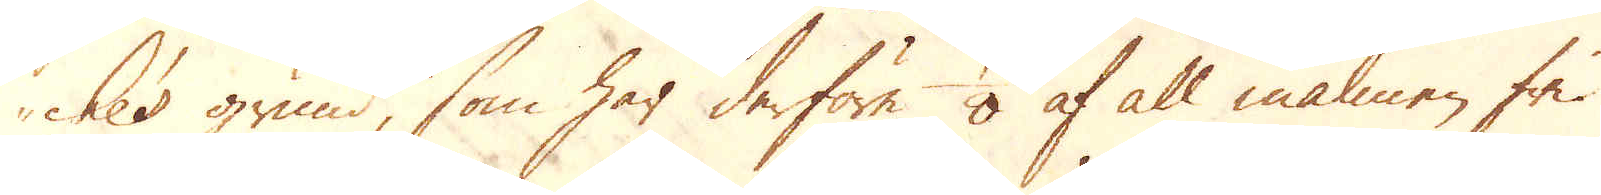che's grund, som har derföre 1/8 af all malmen fri.
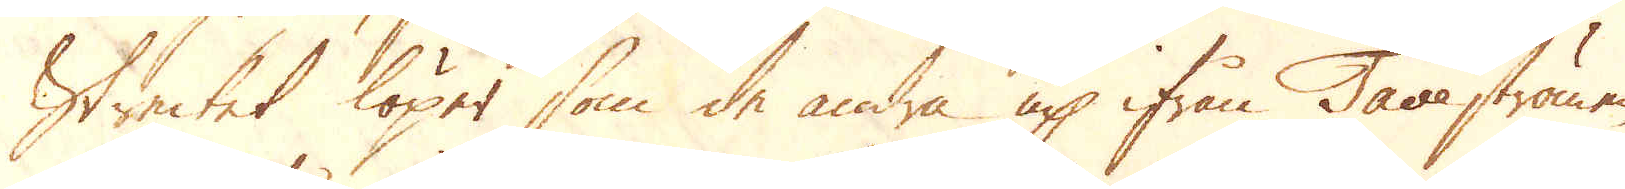Strecket löper som de andra up ifrån Tave strömen
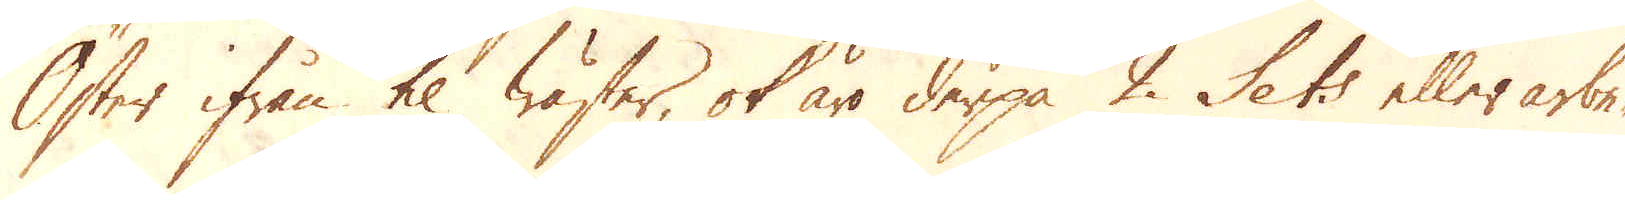Öster ifrån til Wäster, ok äro derpå 2 Sets eller arbe-
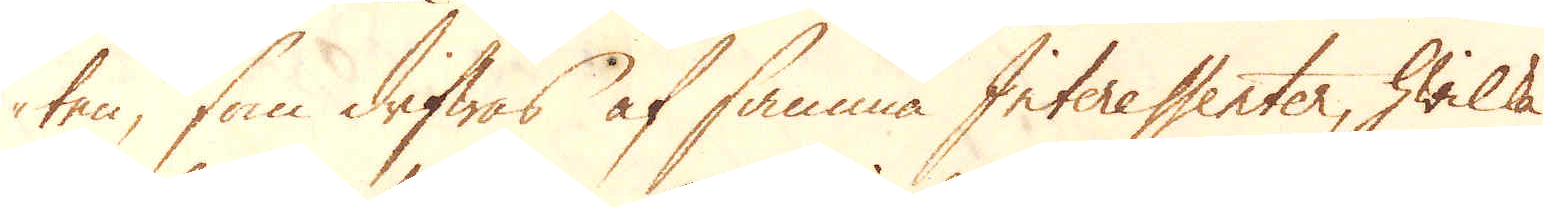ten, som drifwes af samma Interessenter, hwilka
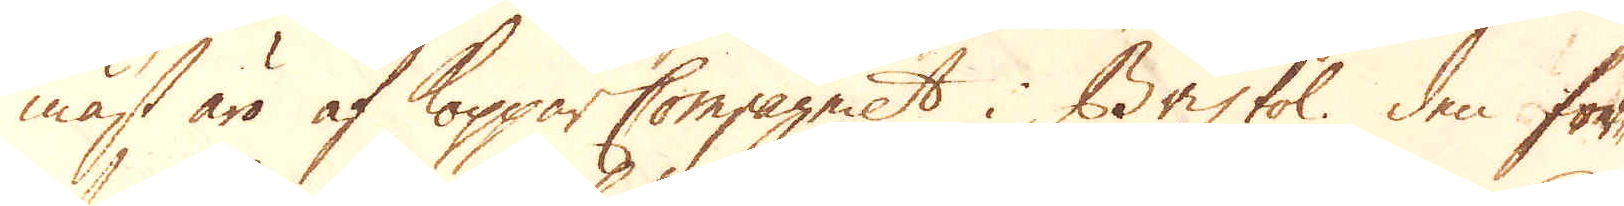mäst äro af Koppar Compagniet i Bristol. Den för-
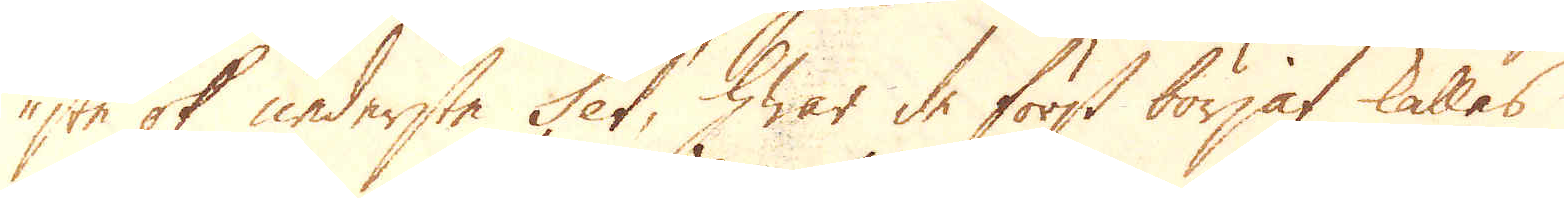ste ok nederste Set, hwar de först börjat kallas
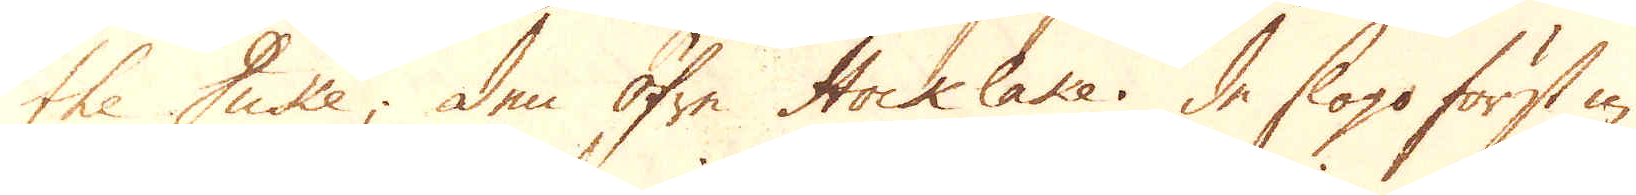the Duke; den öfre Hock lake. De slogo först in
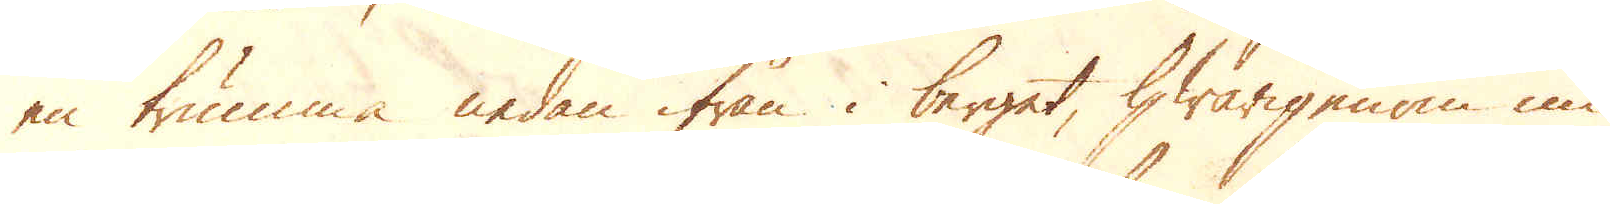en trumma nedan ifrån i berget, hwarigenom nu
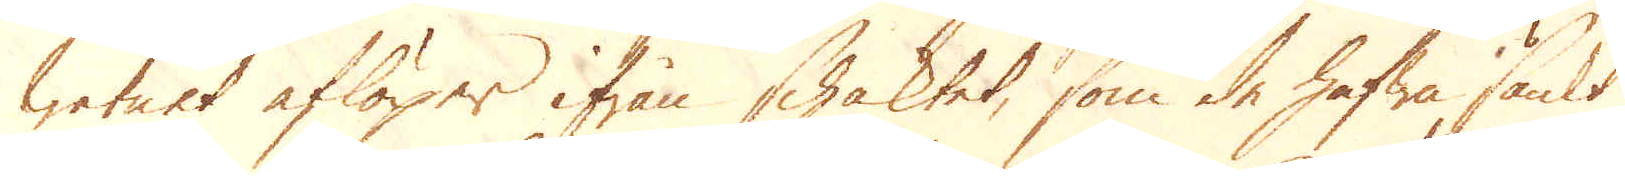watnet aflöper ifrån schaktet, som de hafwa sänkt
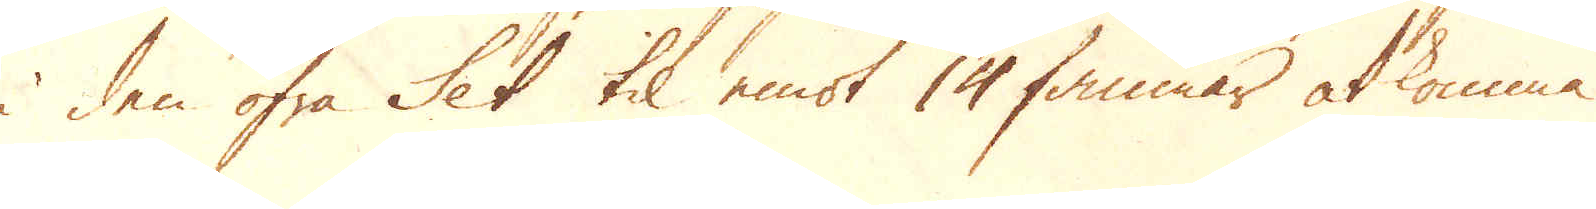i den öfra Set til emot 14 famnar at komma
